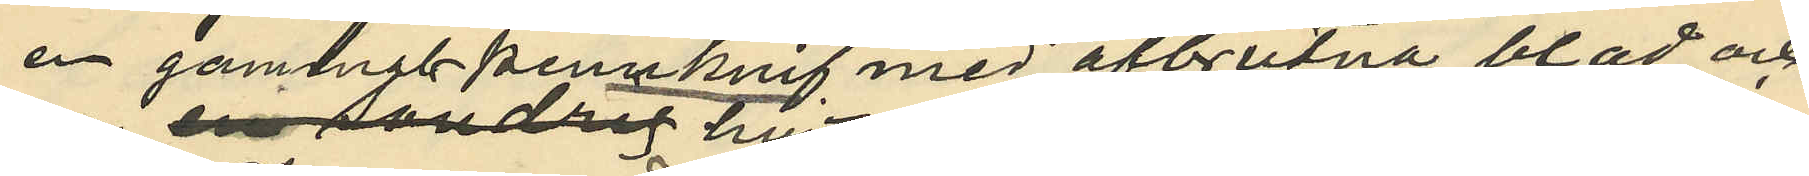en gammal pennknif med afbrutna blad och
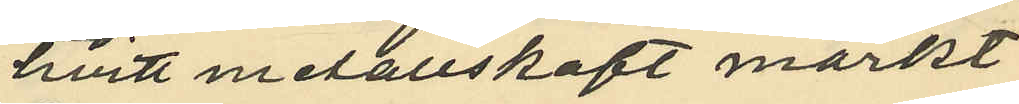hvitt metallskaft märkt
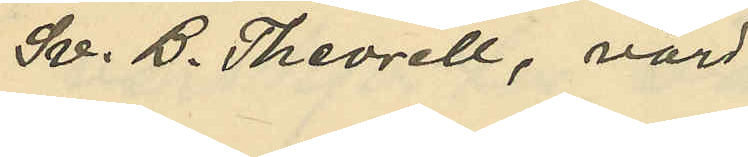Sv. B. Theorell, värd
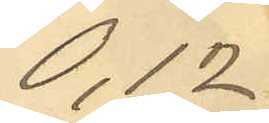0,12
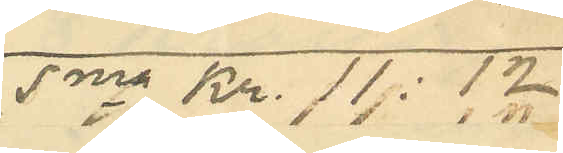Sma Kr. 11:12
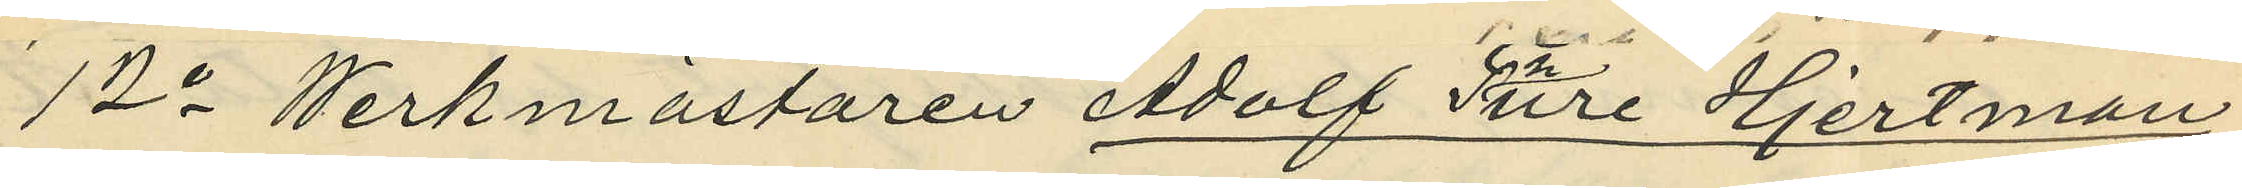12o Werkmästaren Adolf Sture Hjertman,
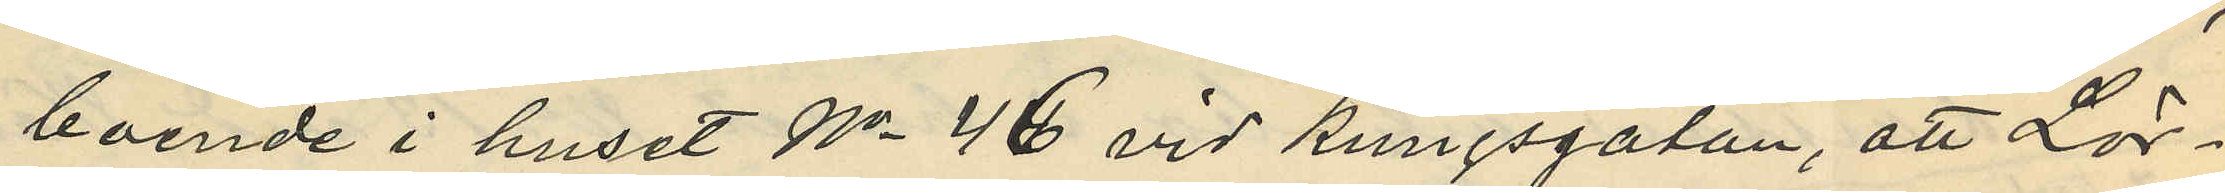boende i huset No 46 vid Kungsgatan, att Lör¬
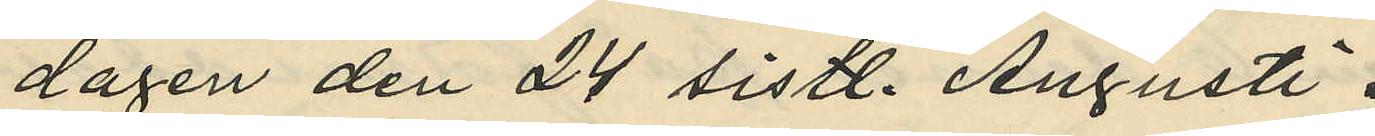dagen den 24 sistl. Augusti
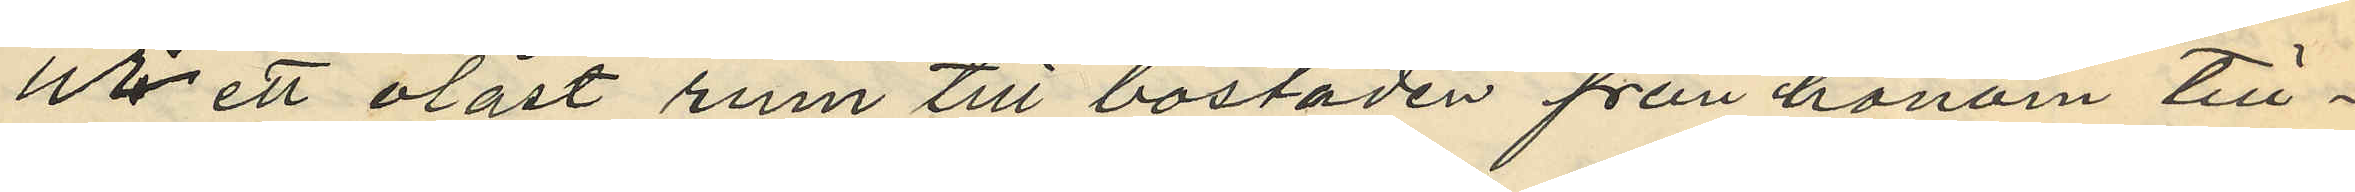ur ett olåst rum till bostaden från honom till¬
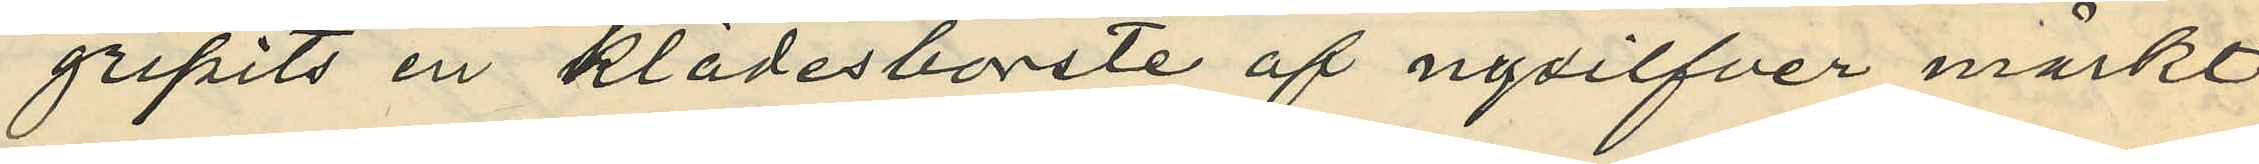gripits en klädesborste af nysilfver märkt
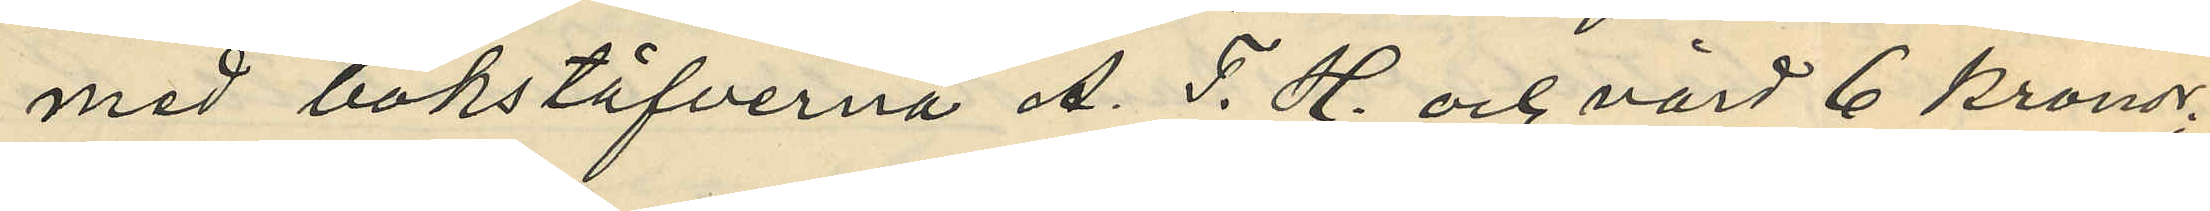med bokstäfverna A. S. H. och värd 6 kronor;
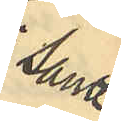samt
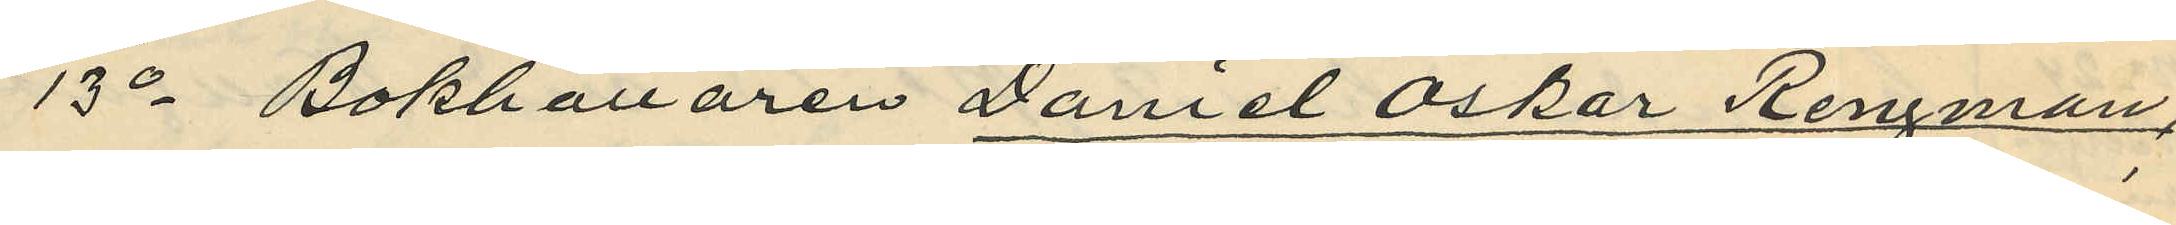13o Bokhållaren Daniel Oskar Rengman,
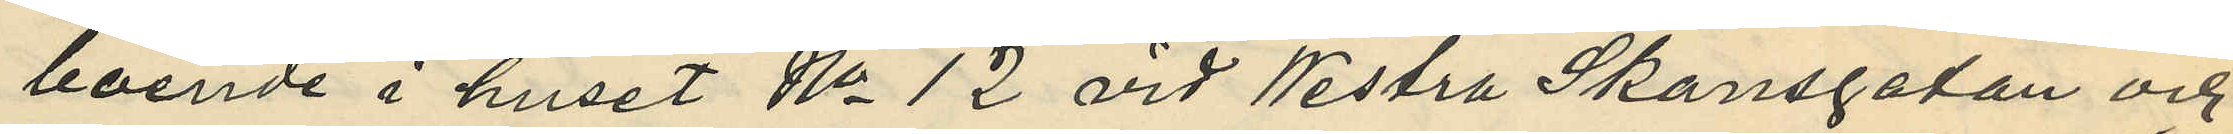boende i huset No 12 vid Westra Skansgatan och
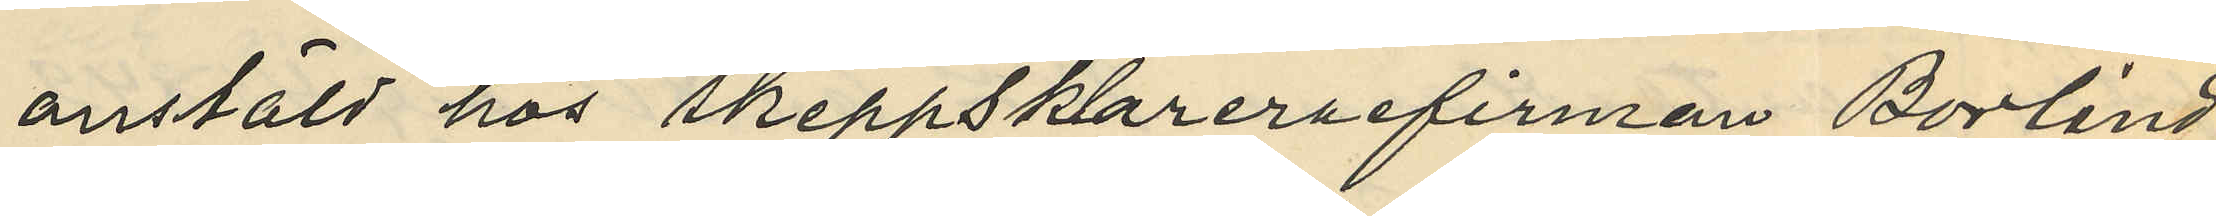anstäld hos Skeppsklarerefirman Borlind,
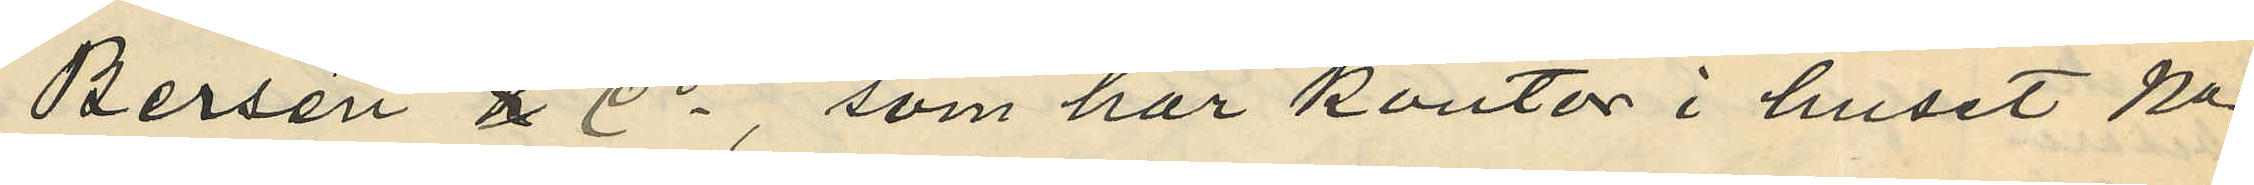Bersén & Co, som har kontor i huset No
